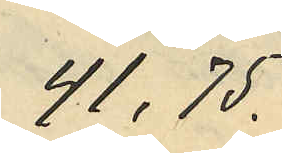41,75.
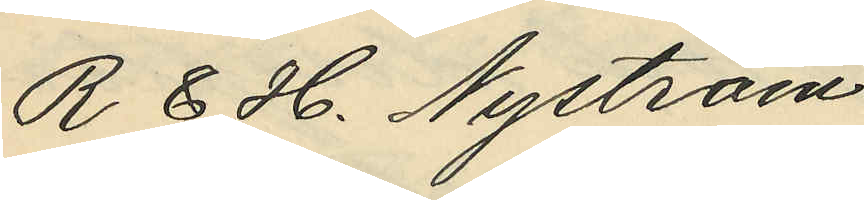R. & H. Nyström
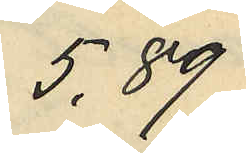5,89
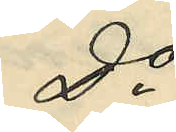do
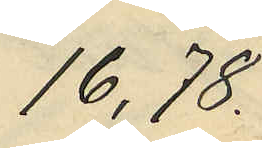16,78
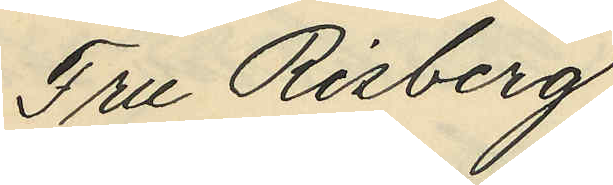Fru Risberg
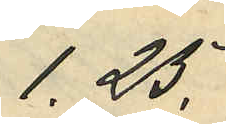1.25.
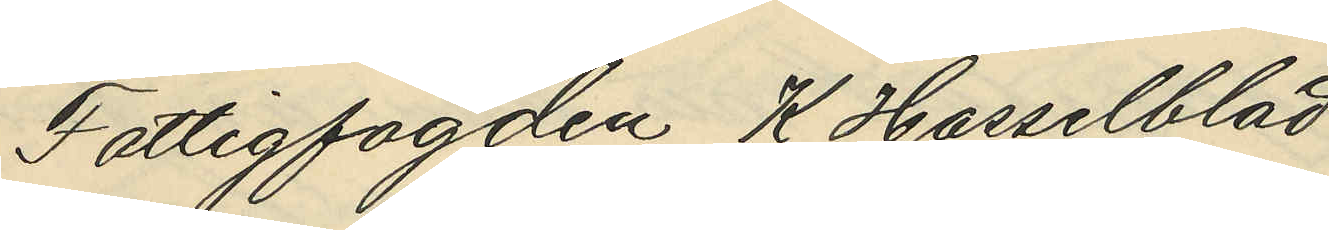Fattigfogden K. Hasselblad
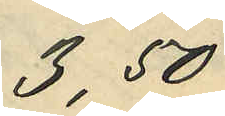3,50
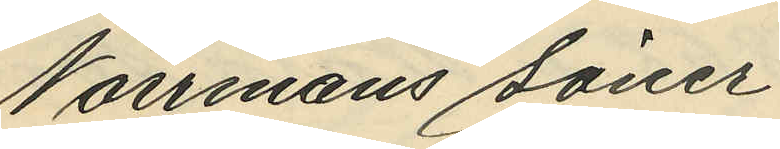Norrmans söner
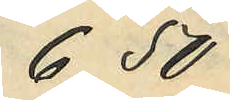6,50
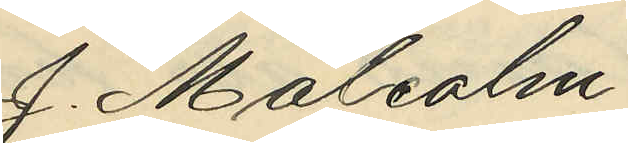J. Malcolm
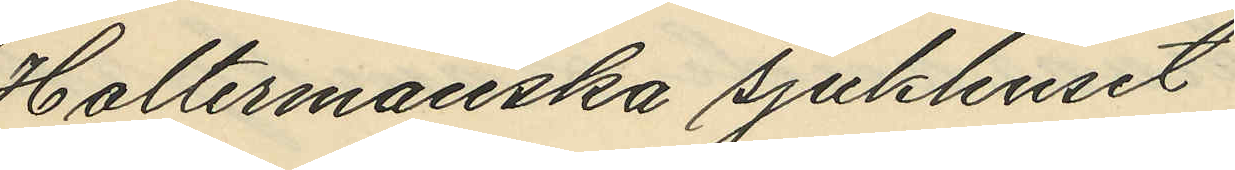Holtermanska sjukhuset
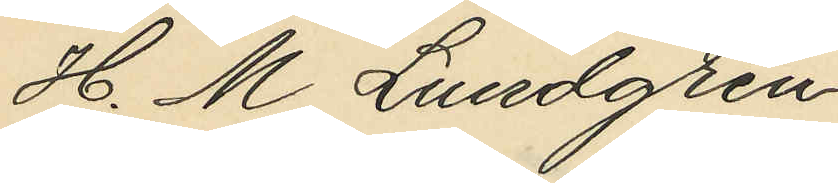H. M. Lundgren
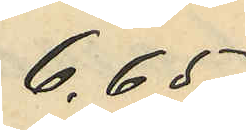6,65.
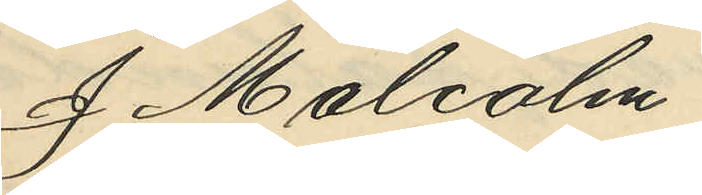J Malcolm
